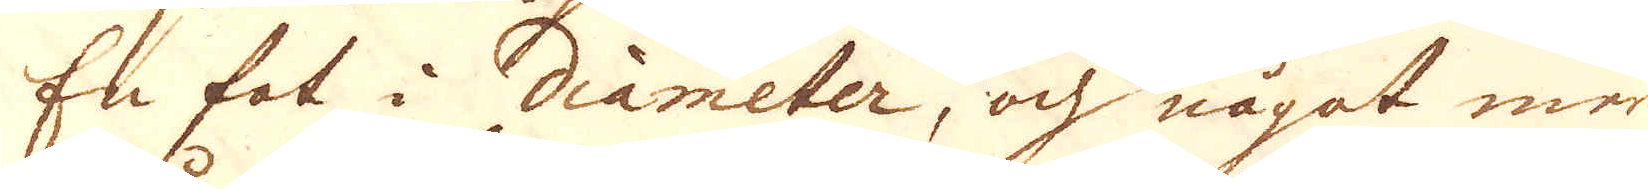En fot i diameter, och något mer
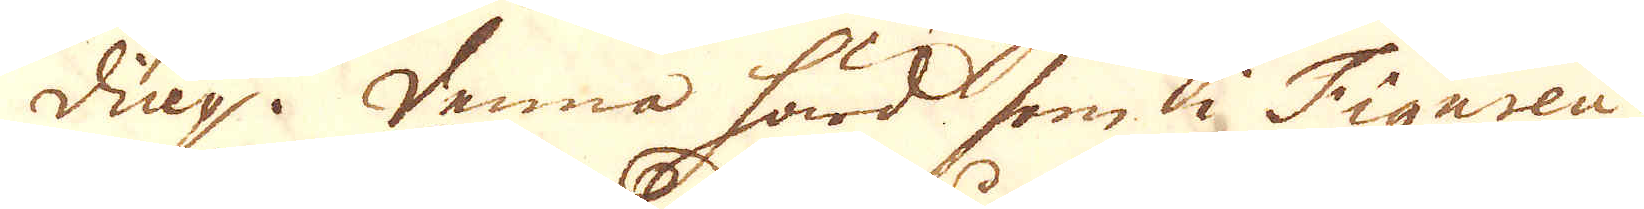diup. Denna härd i Figuren är
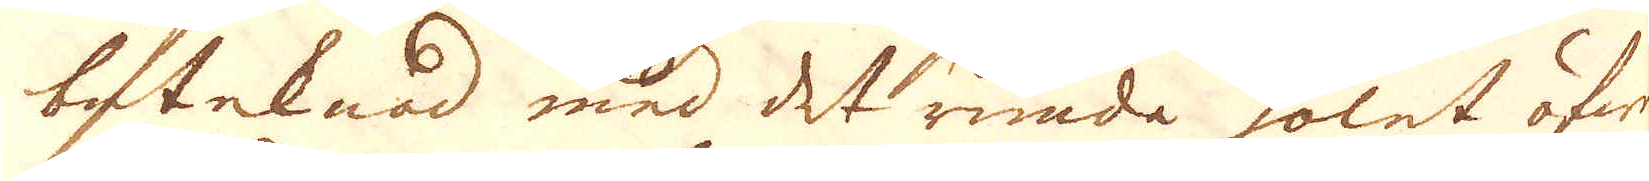beteknad med det runda holet öfwer
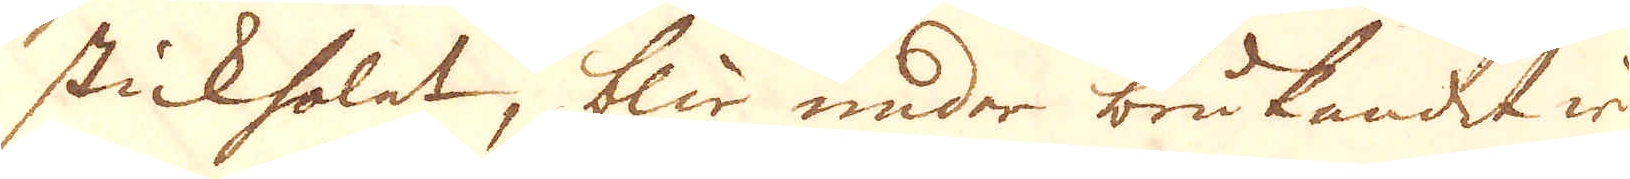stickholet, blir under brukandet wi-
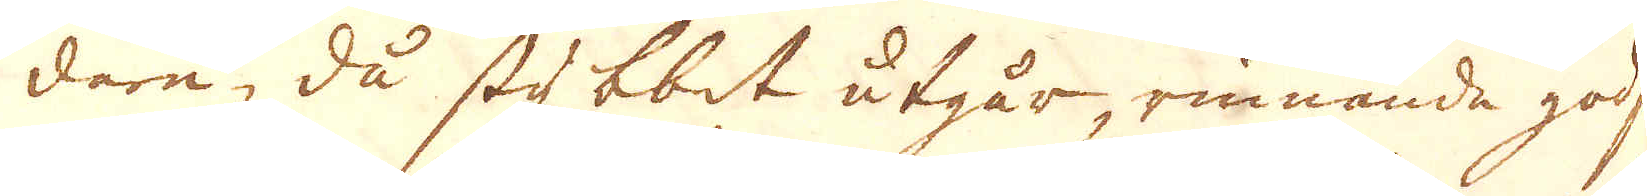dare, då stybbet utgår, rinnande godset
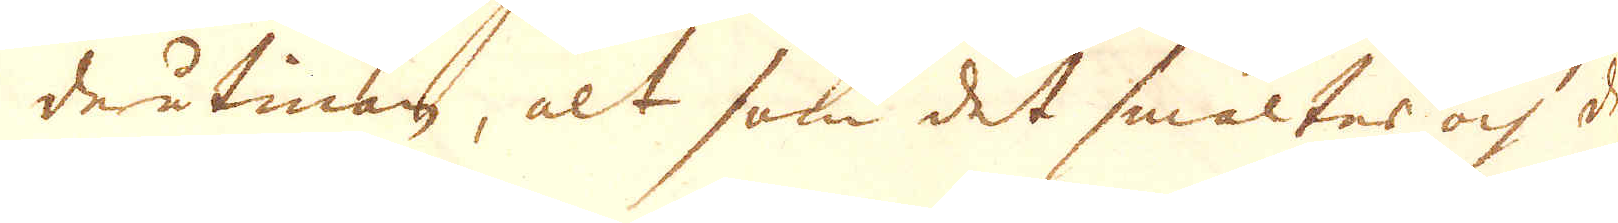derutinan, alt som det smältes och det
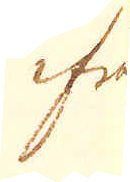ifrån
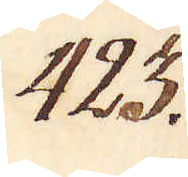423.
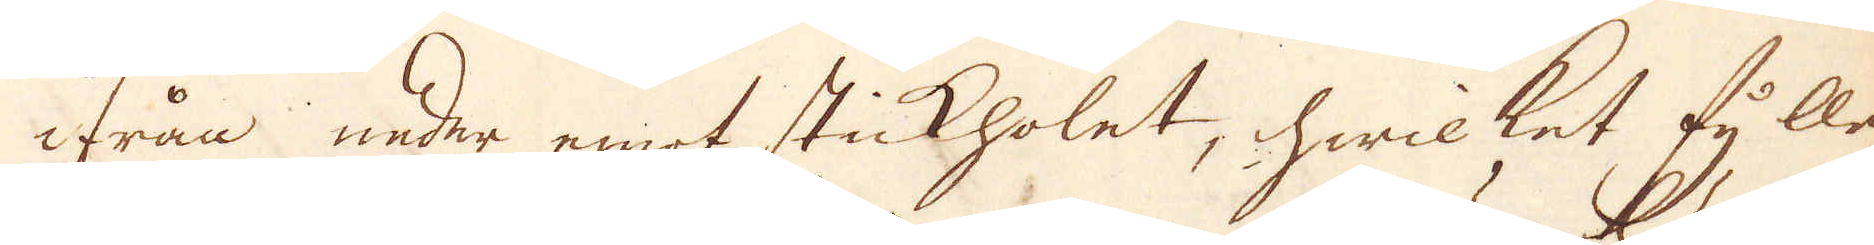ifrån neder emot stickholet, hwilket fylles
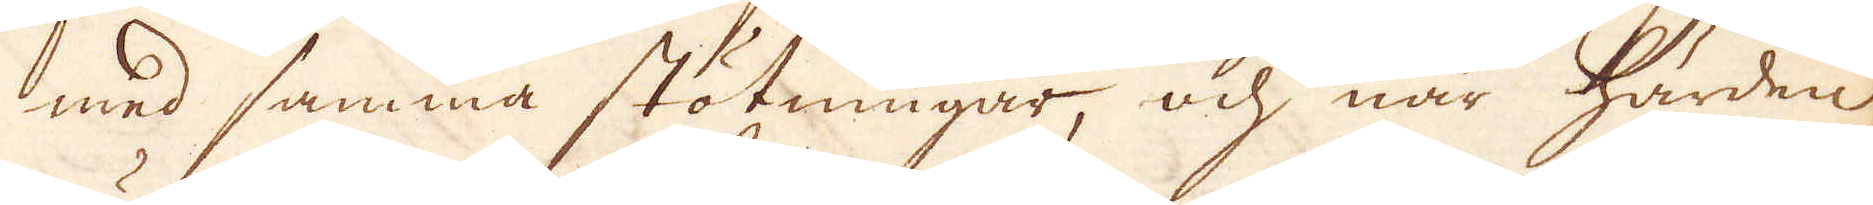med samma stötningar, och när härden
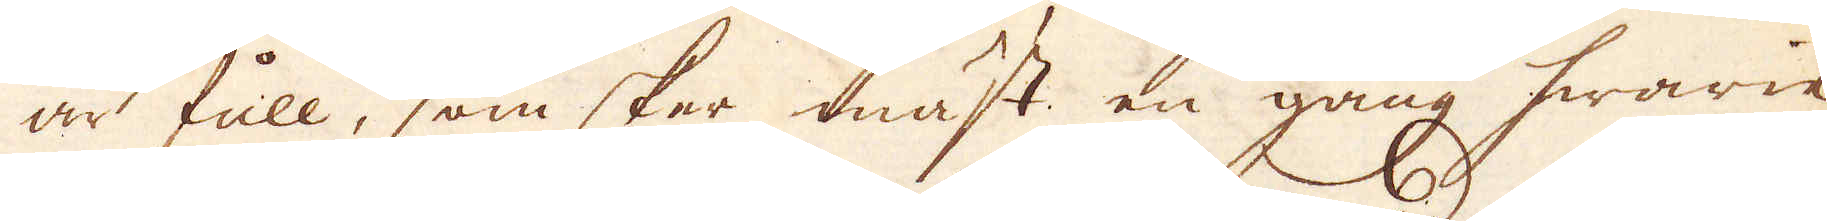är full, som sker mäst en gång hwarie
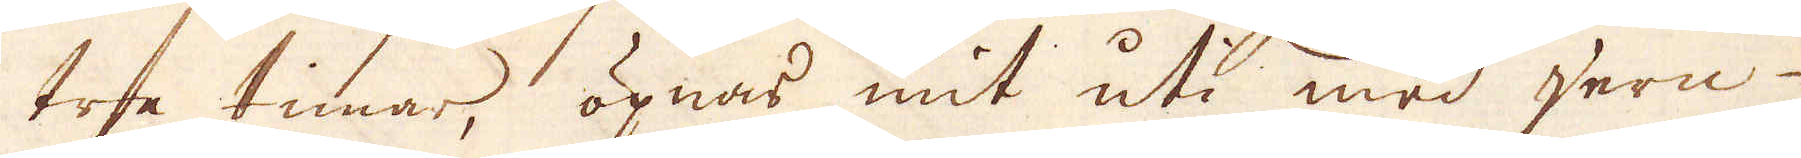tre timar, öpnas mit uti med jern-
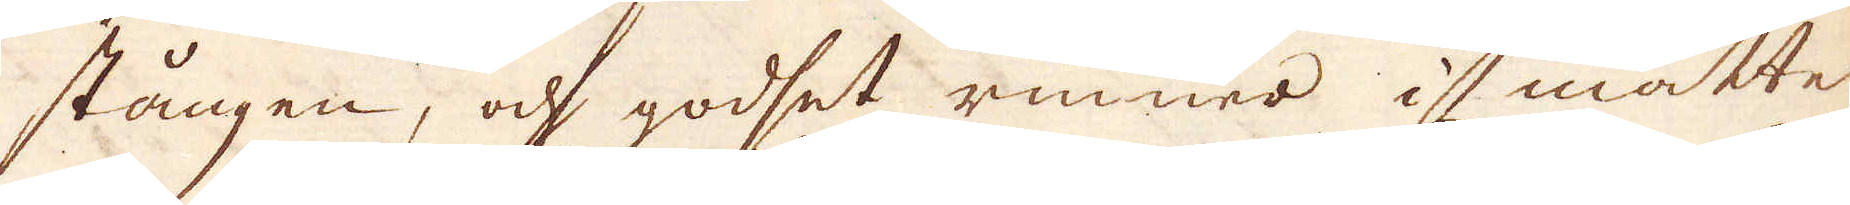stången, och godset rinner i måtte
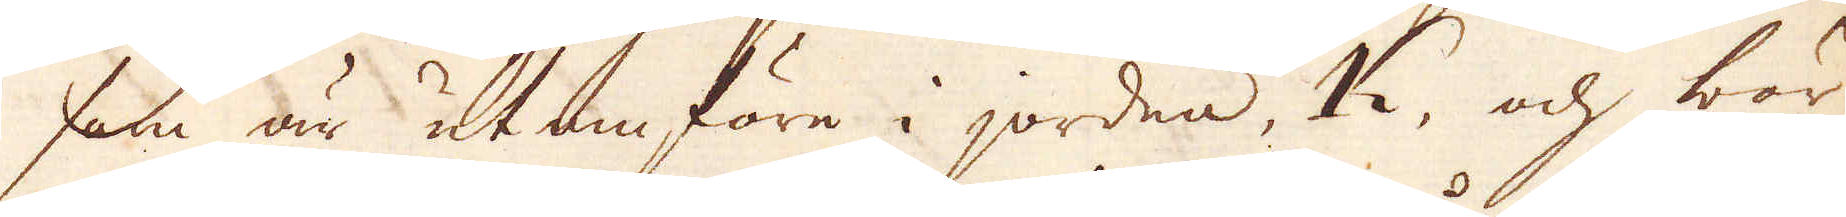som är utanföre i jorden, K, och bör,
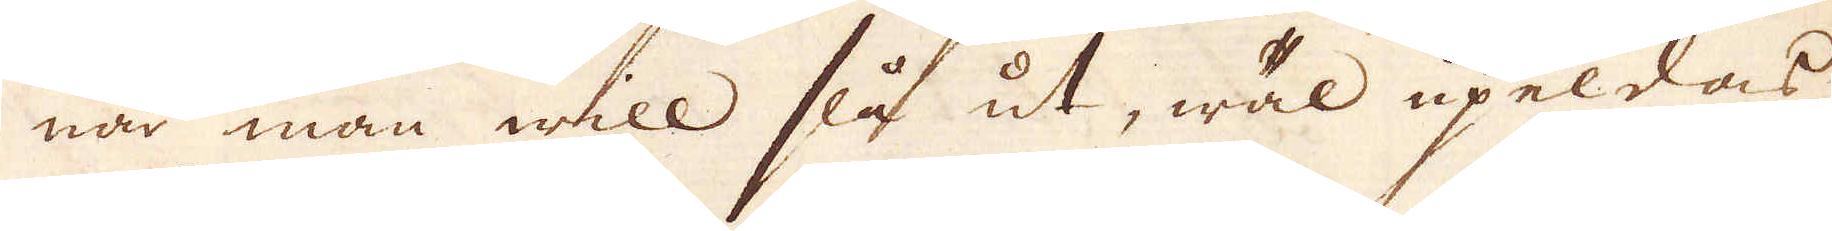när man will slå ut, wäl upeldas
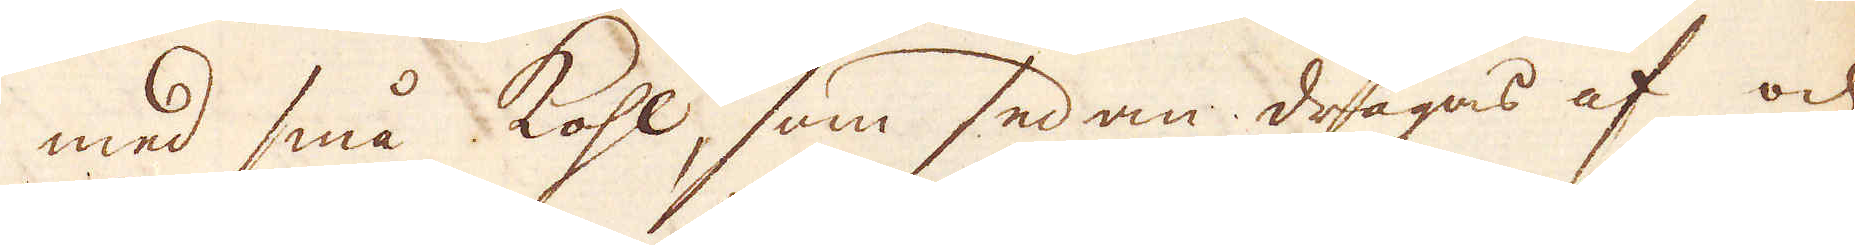med små kohl, som sedan dragas af och
